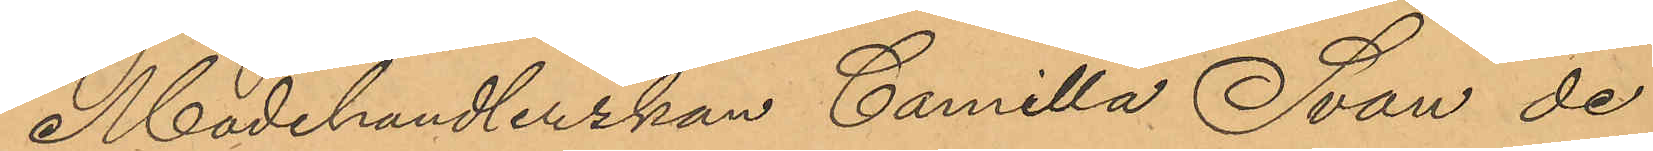Modehandlerskan Camilla Svan de
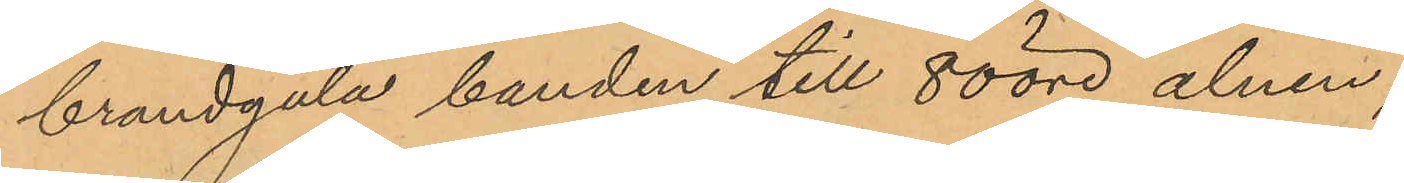brandgula banden till 80 öre alnen,
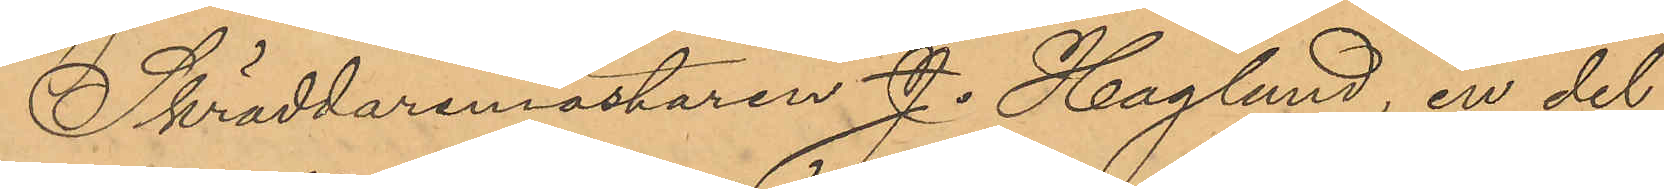Skräddaremästaren J. Haglund, en del
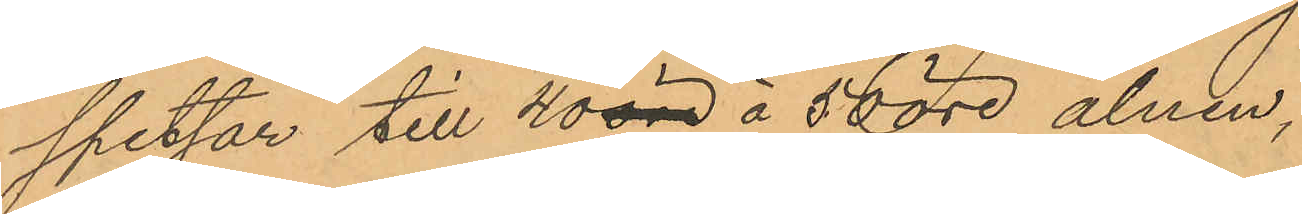spetsar till 40 öre á 50 öre alnen,
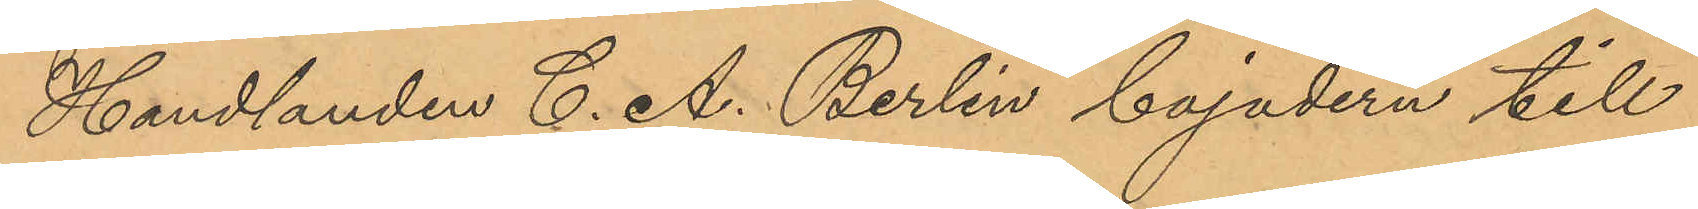Handlanden C. A. Berlin bojadern till
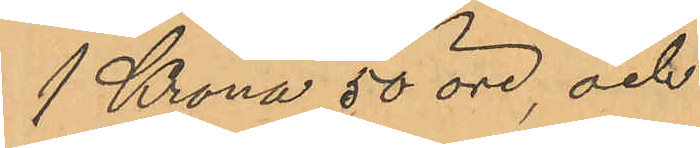1 Krona 50 öre, och
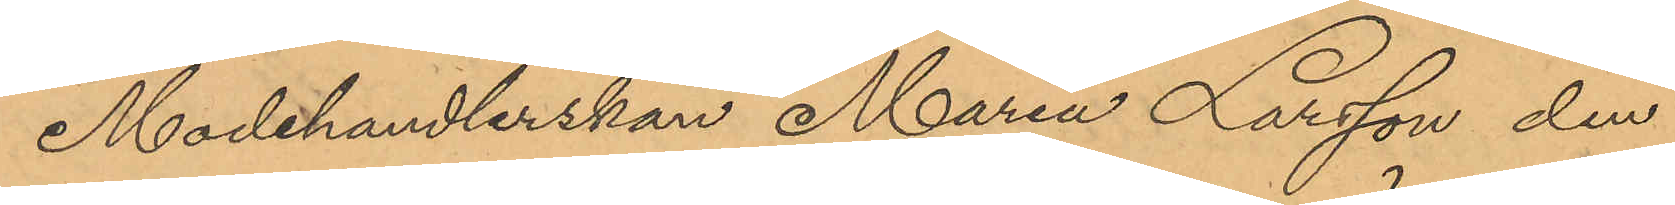Modehandlerskan Maria Larsson den
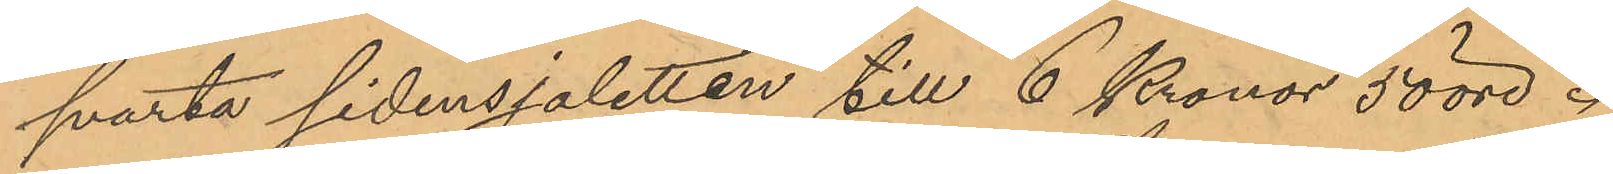svarta sidensjaletten till 6 Kronor 50 öre.
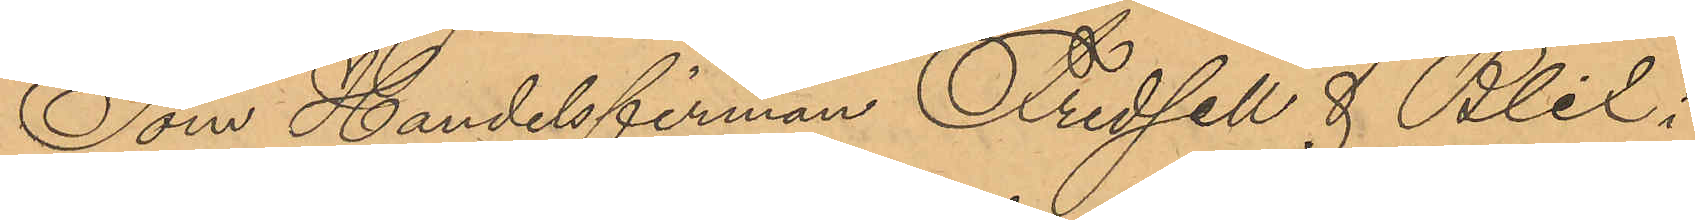Som Handelsfirman Fridsell & Blix i
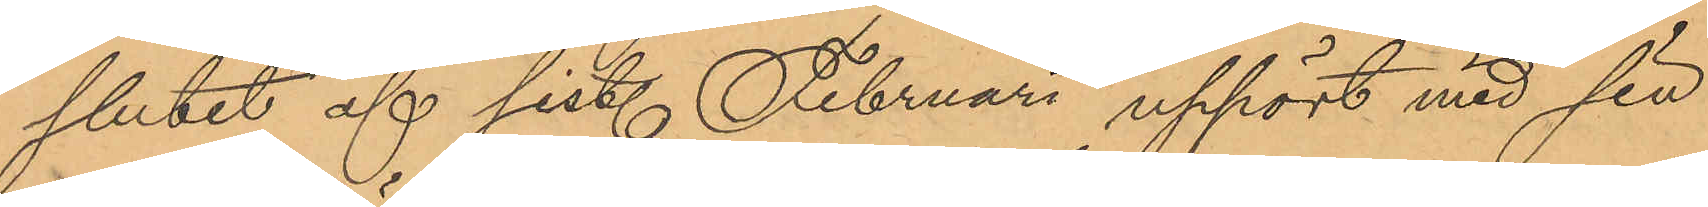slutet af sist. Februari upphört med sin
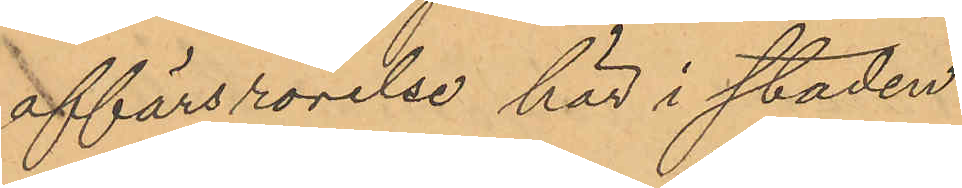affärsrörelse här i staden
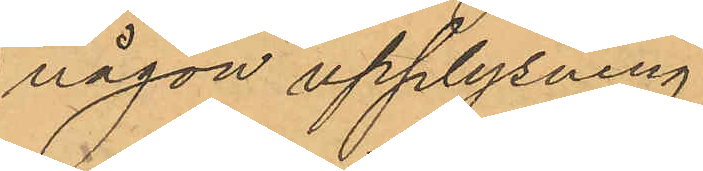någon upplysning
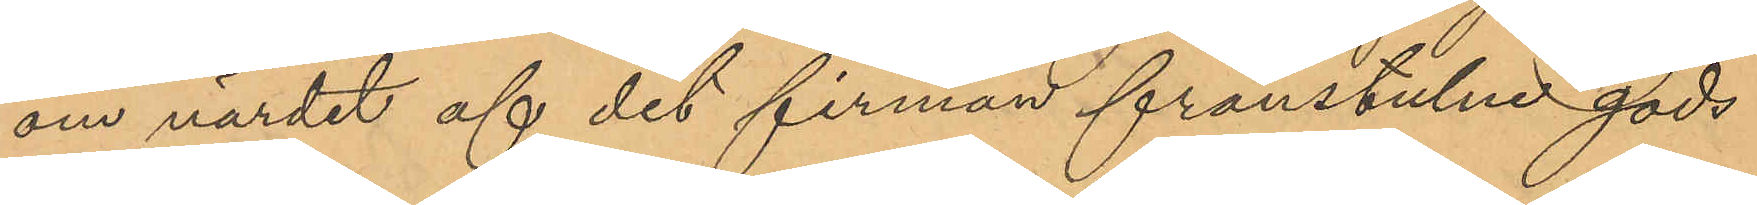om värdet af det firman frånstulne gods
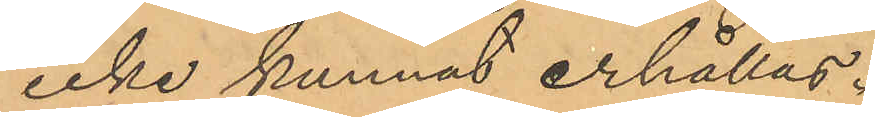icke kunnat erhållas.
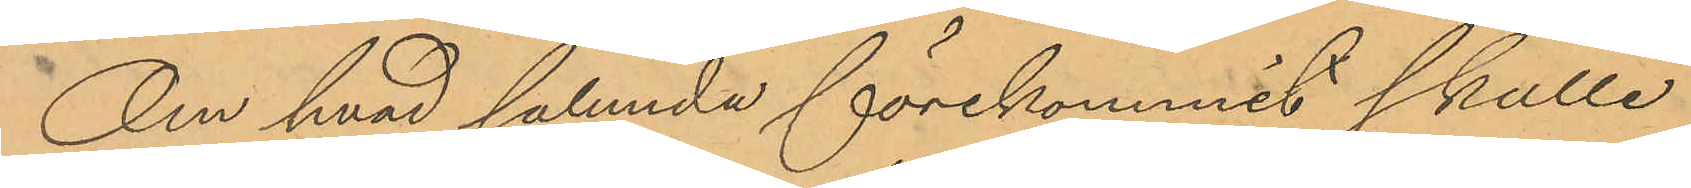Om hvad sålunda förekommit skulle
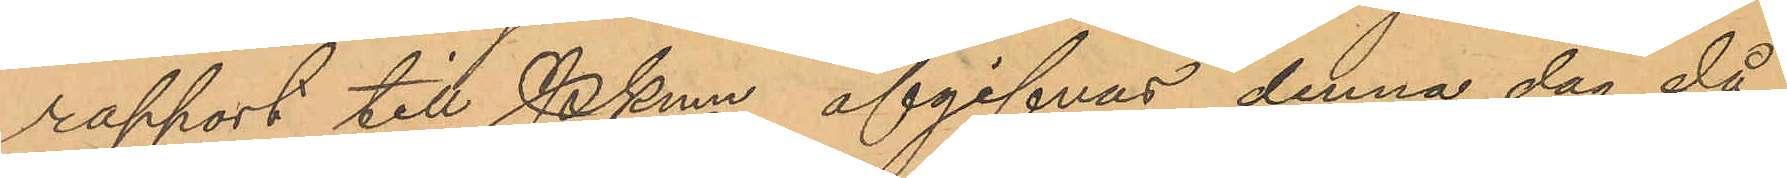rapport till Pkmn afgifvas denna dag då
